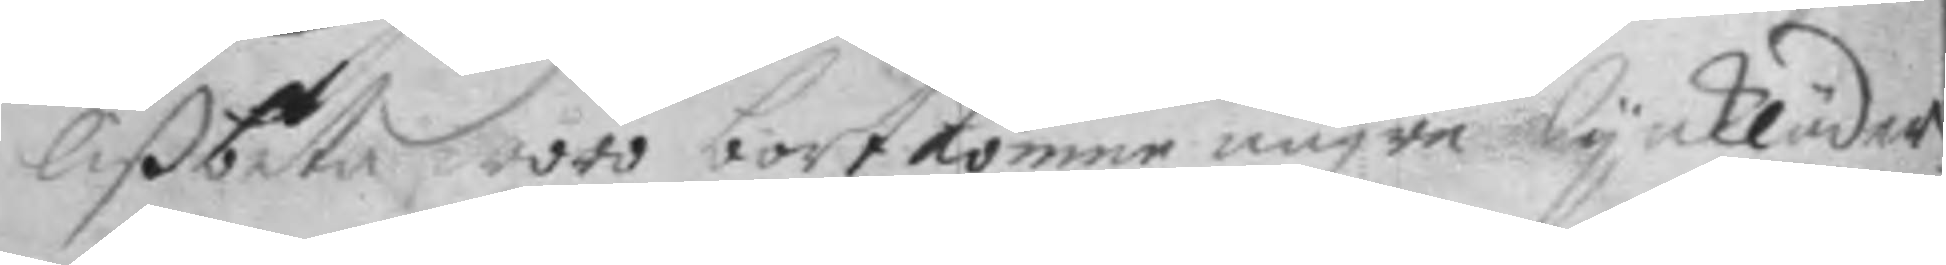LiVbeta woro bort komne någre lynkläder
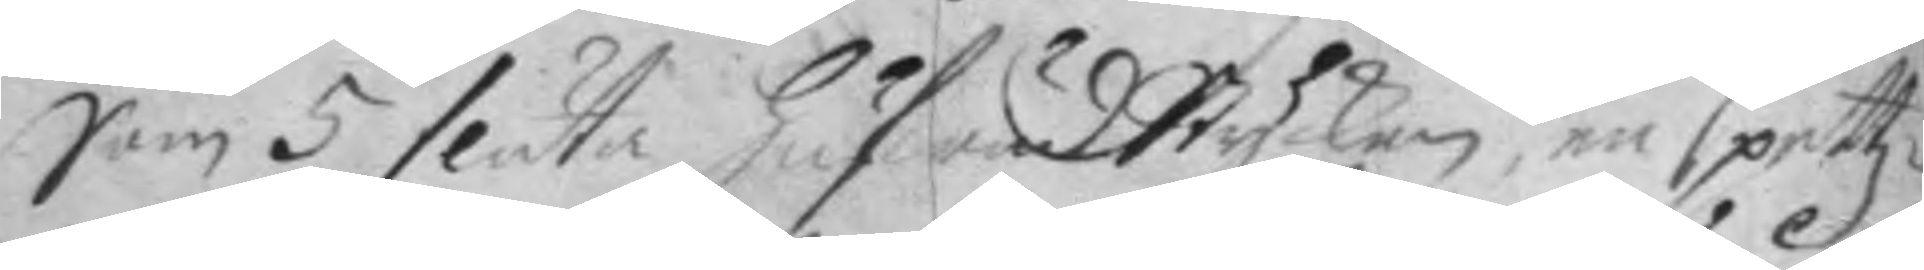Som 5 släta HufwudStycken, en spetz¬
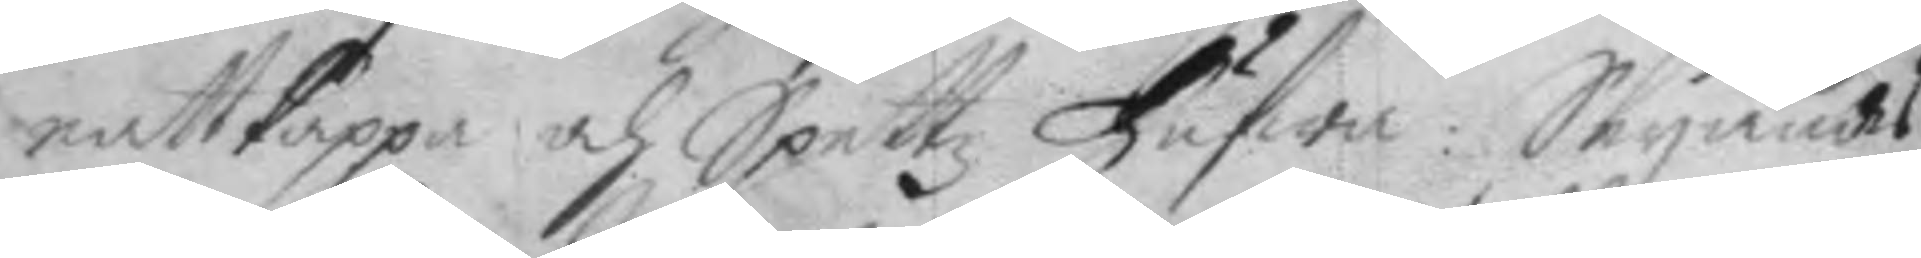natt kappa och Spettz Hufwa: Seyandes
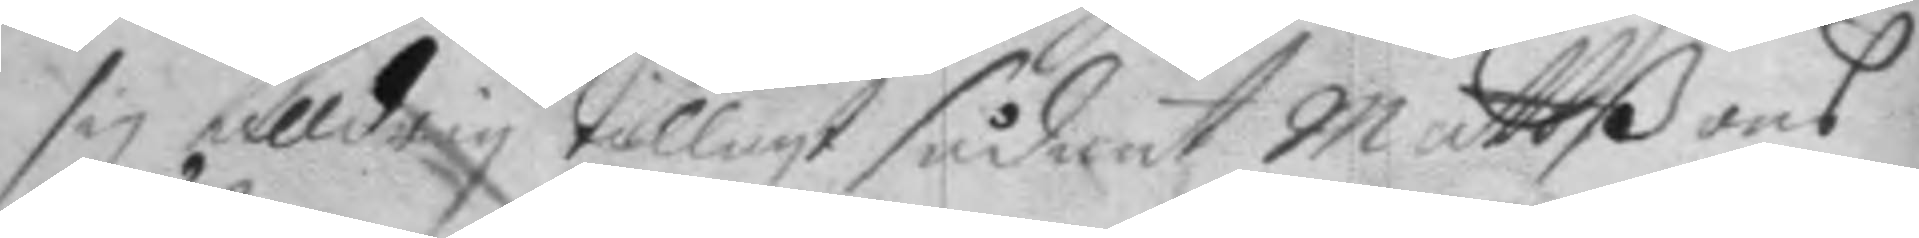sig alldrig tillagt sådant Mattßons
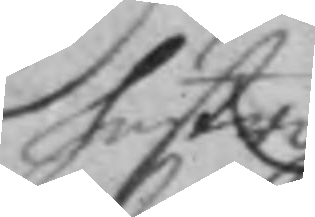hustro.
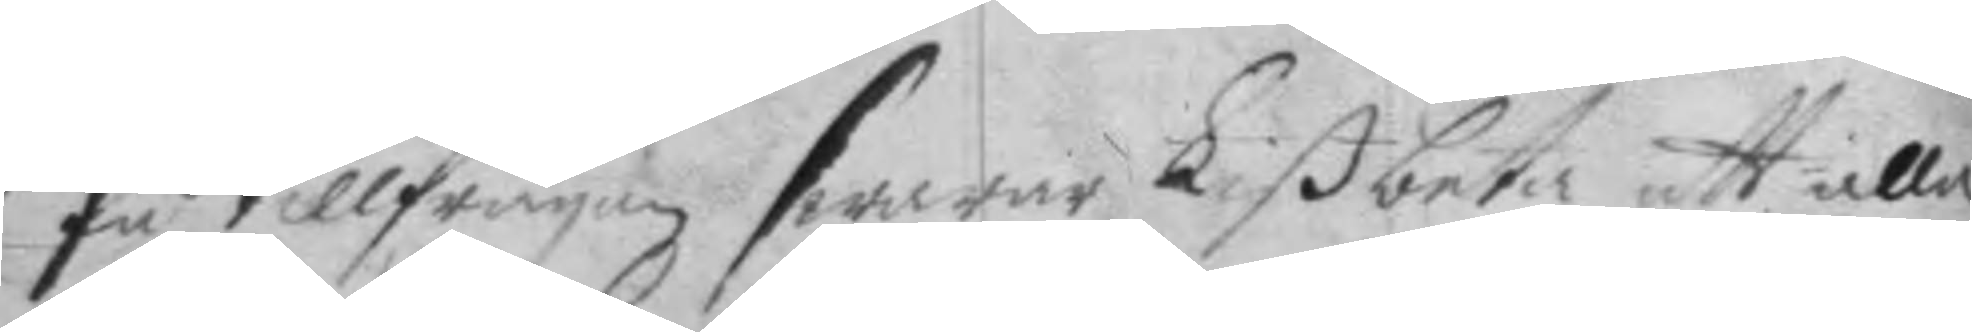På tillfrågan swarar Libeta att alla
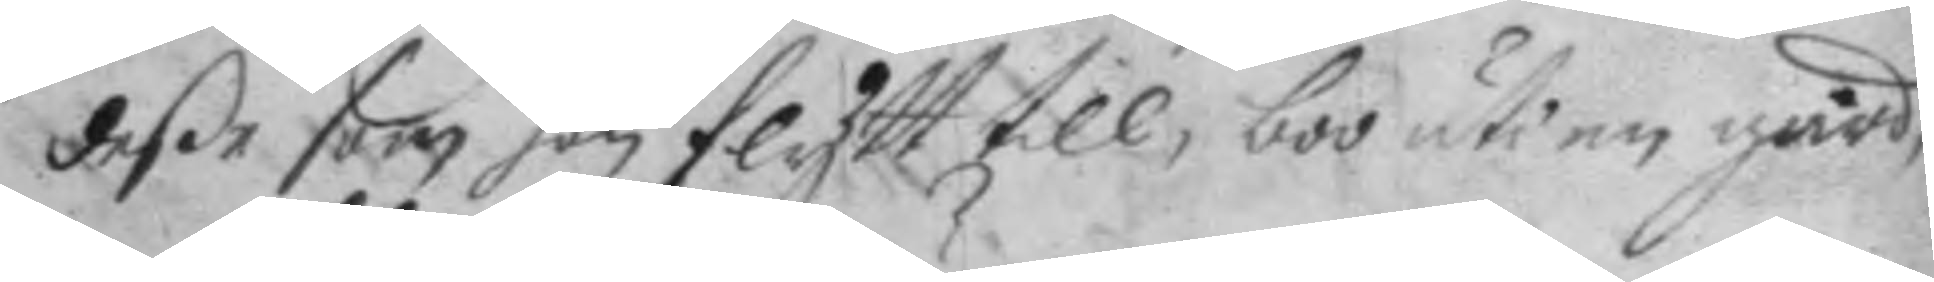deße som hon flytt till, boo uti en gård,
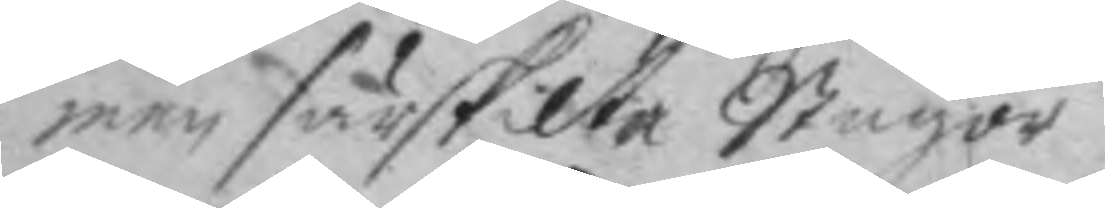men särskilte Stugor.
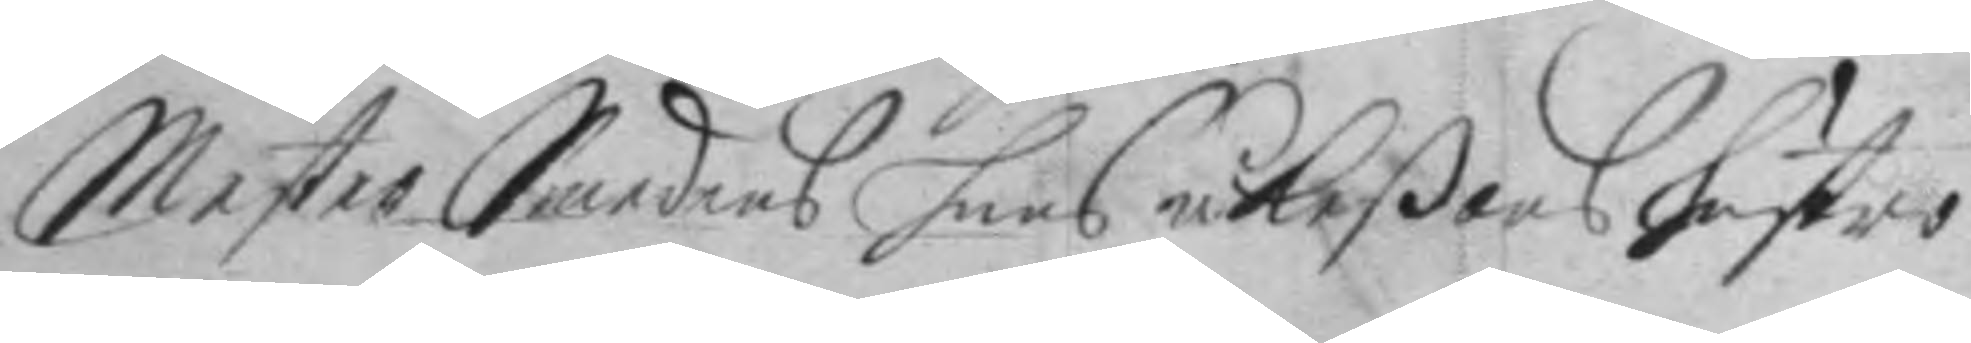Mester Smedens hans åkeßons hustro
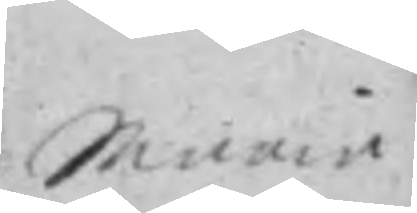Maria
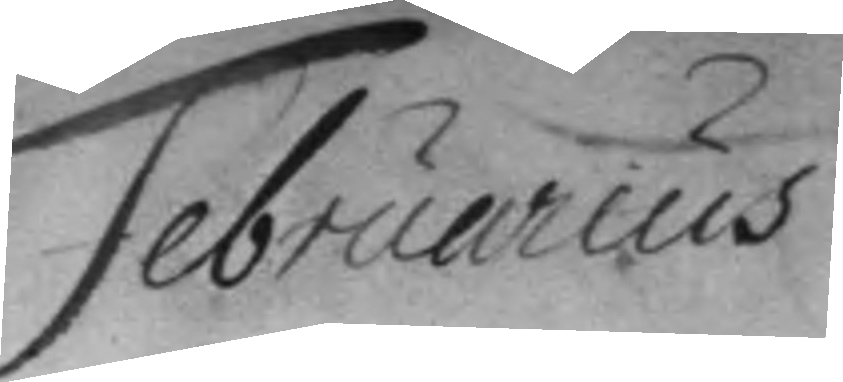Februarius
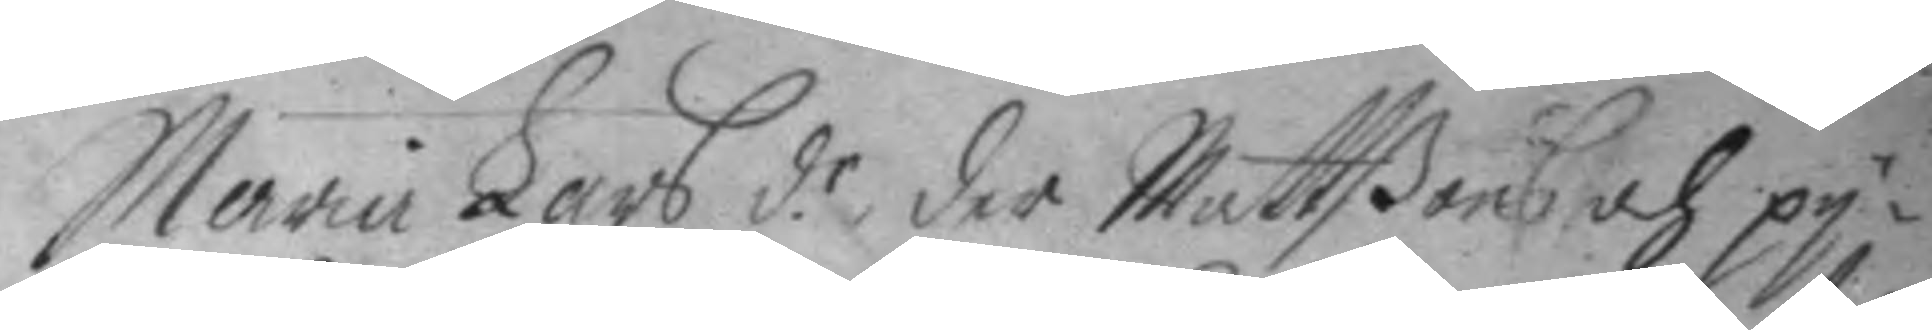Maria Lars d.r der Mattßons och py¬
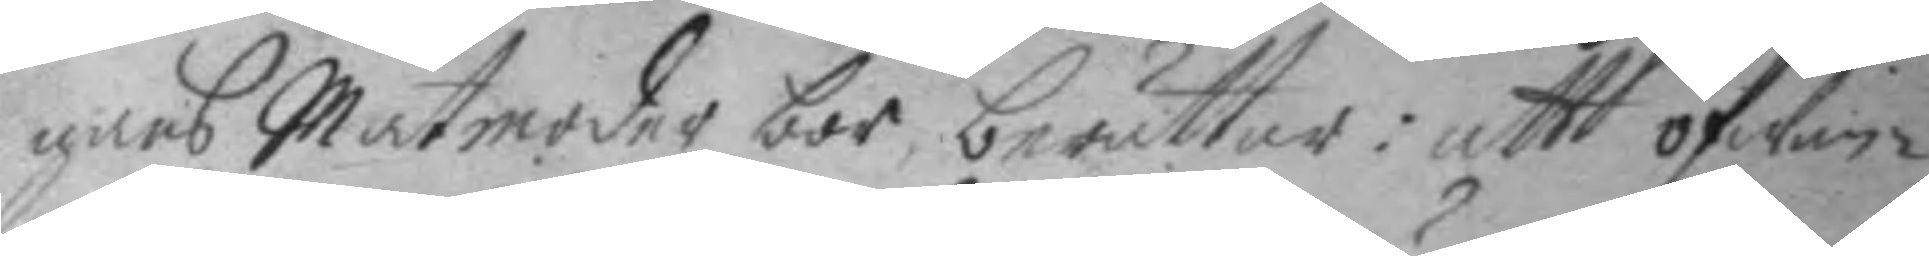gans Matmoder bor, berättas: att ofwan
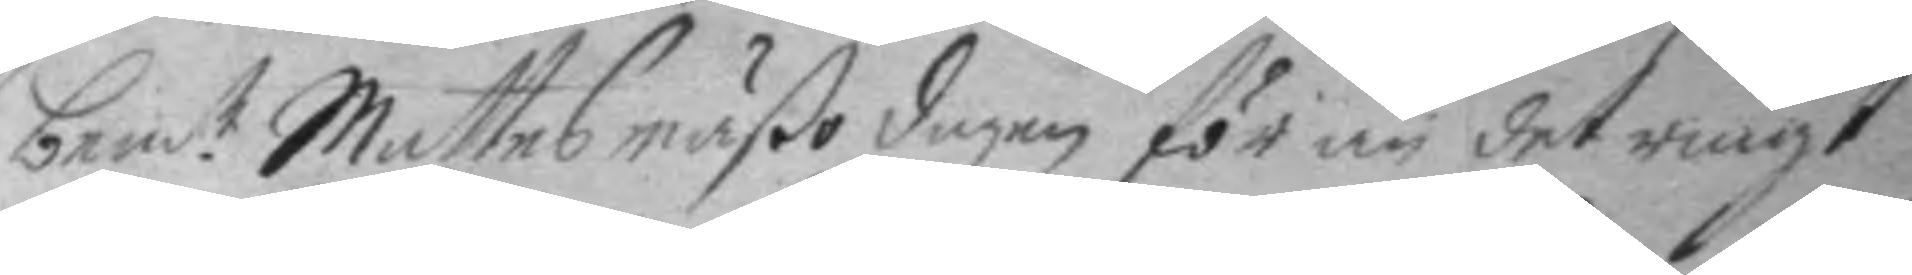bem.te Mattesmäßo dagen för än det ringt
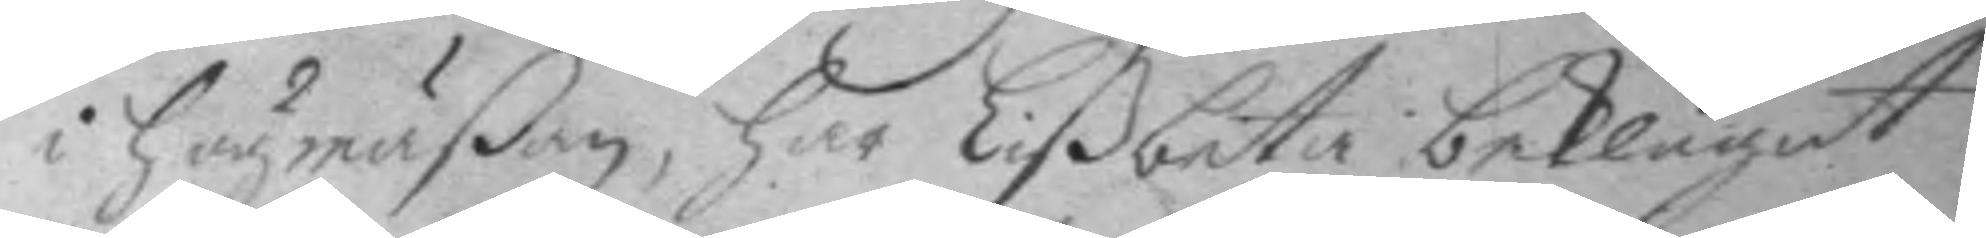i Högmäßan, har Lißbeta beklagat
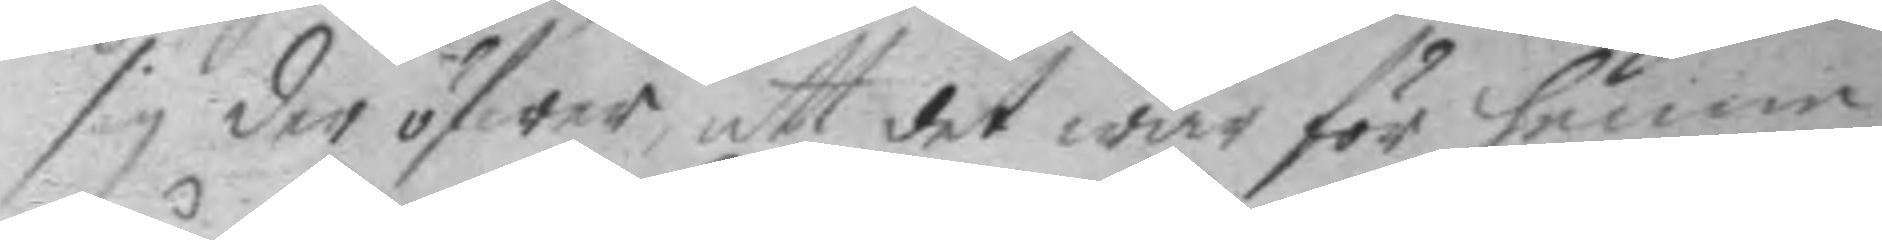sig der öfwer att det war för henne
